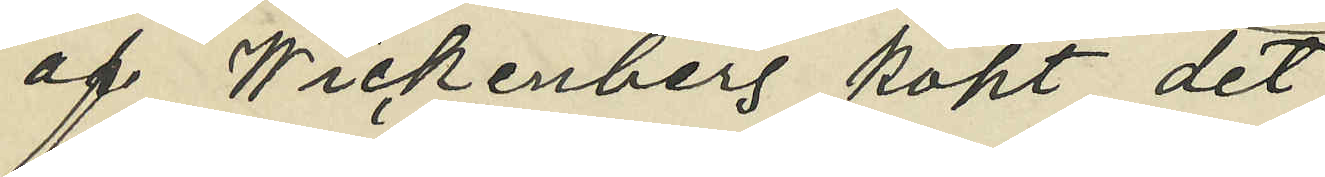af Wickenberg köpt det
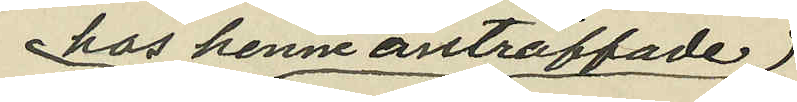hos henne anträffade
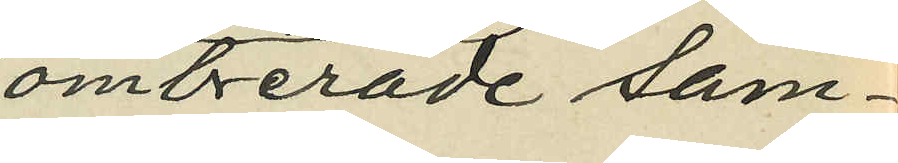ombrerade sam¬
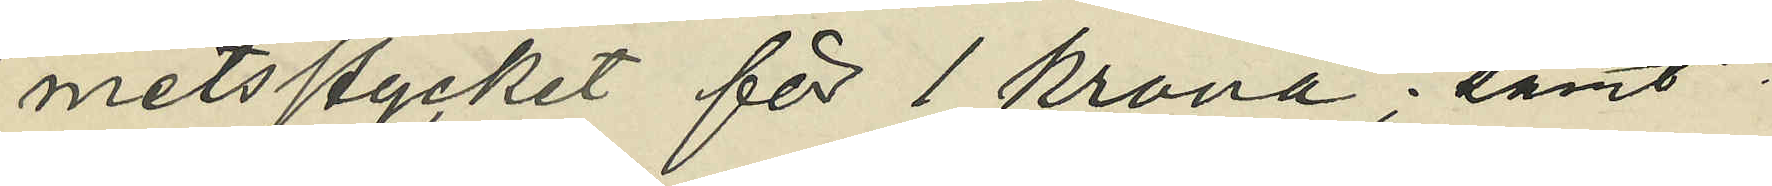metssycket för 1 krona; samt
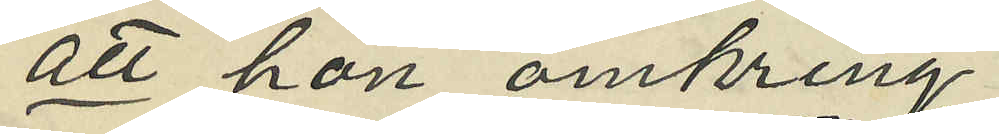att hon omkring
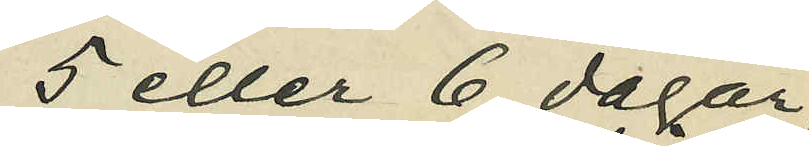5 eller 6 dagar
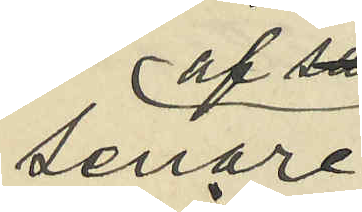senare af
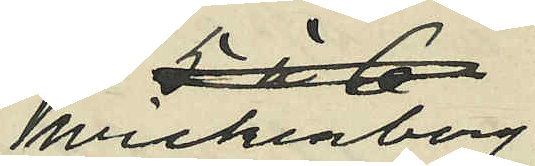Wickenberg
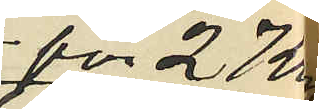för 27 kr
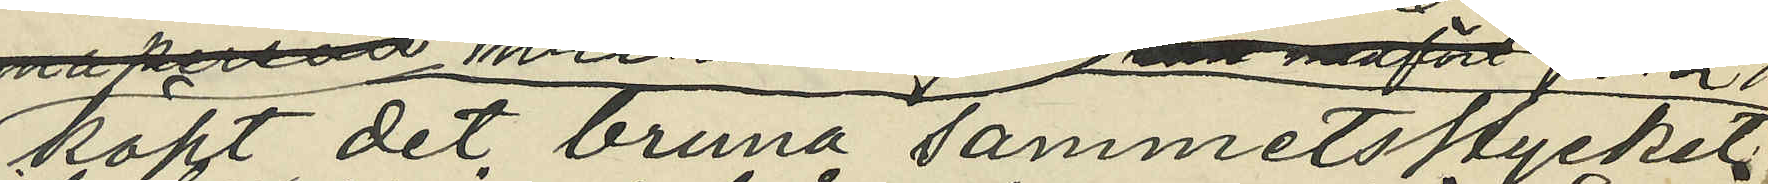köpt det bruna sammetsstycket
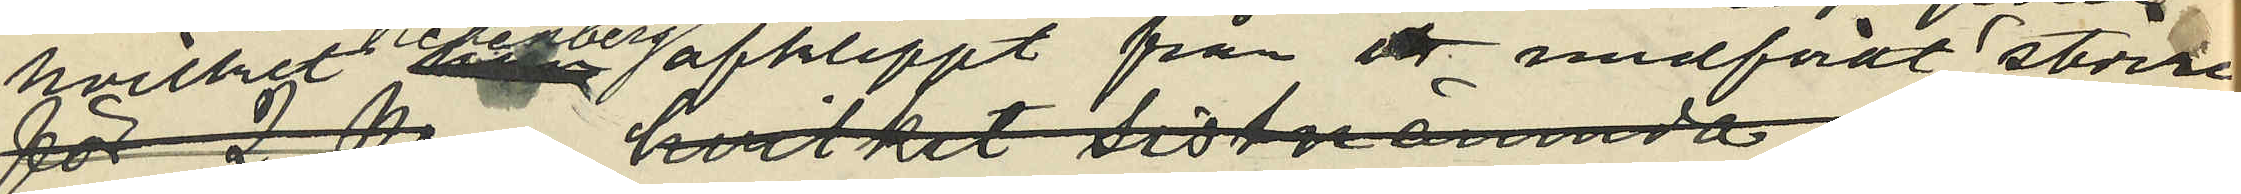hvilket Vickenberg afklippt från medfördt stora
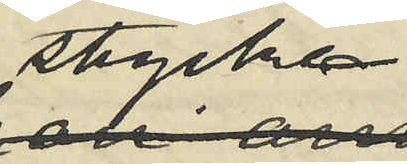stycken
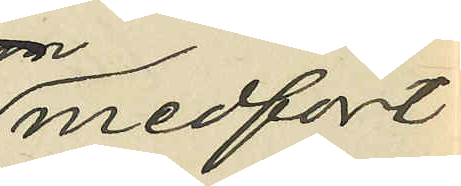medfört
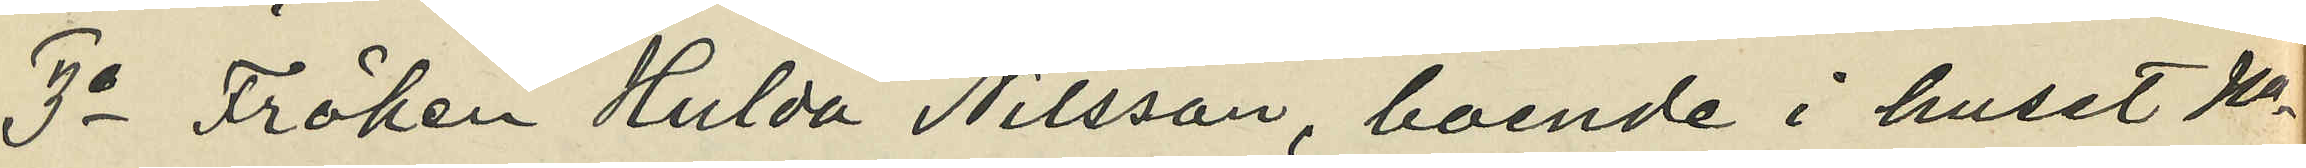3o Fröken Hulda Nilsson, boende i huset No
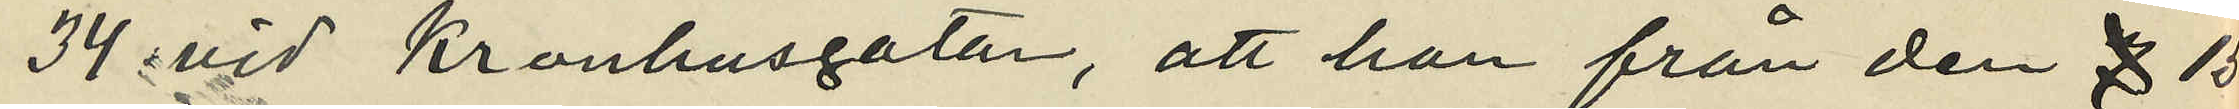34 vid Kronhusgatan, att hon från den 15
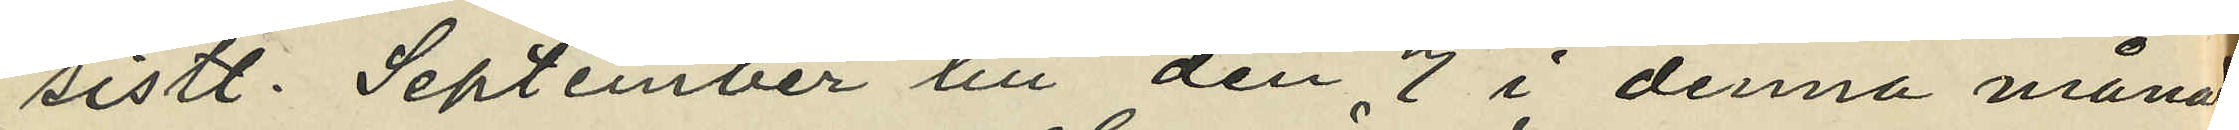sistl. September till den 7 i denna månad
